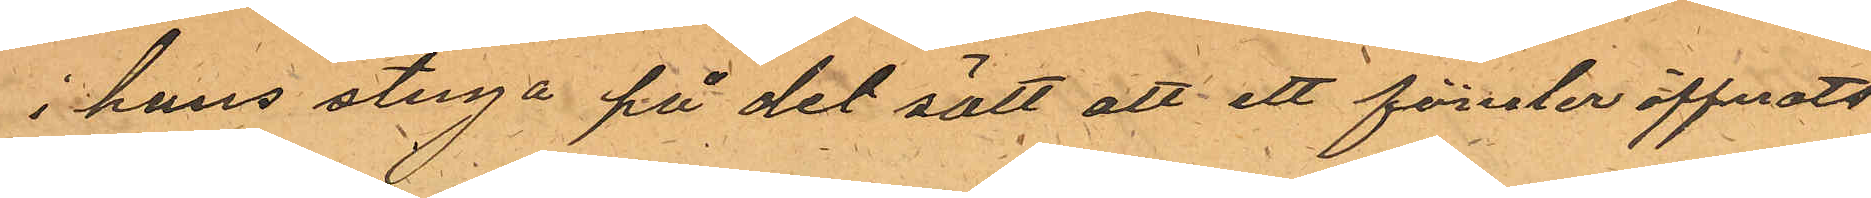i hans stuga på det sätt att ett fönster öppnats
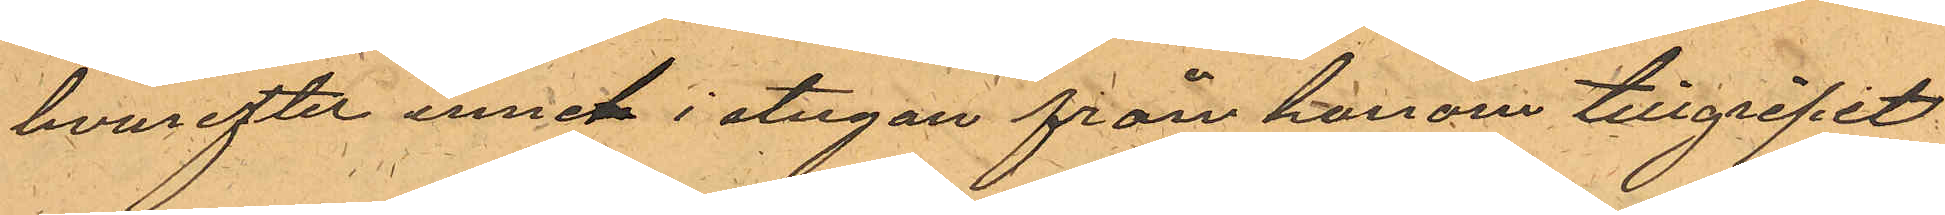hvarefter inneti i stugan från honom tillgripit
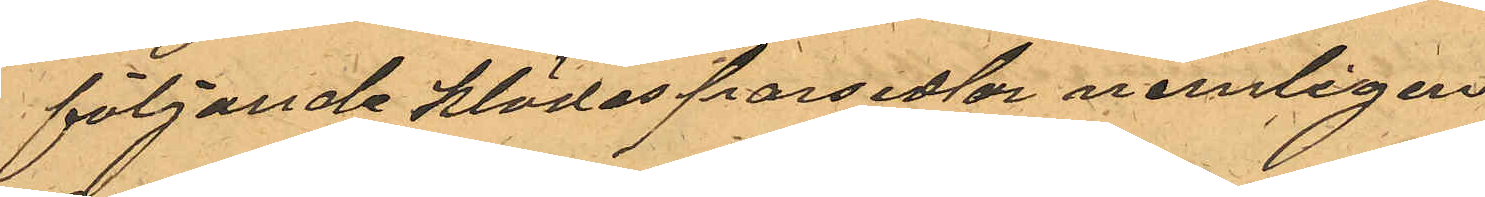följande klädesparsedlar nemligen:
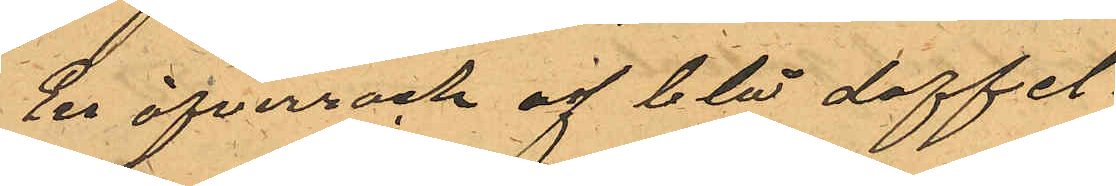En öfverrock af blå doffel
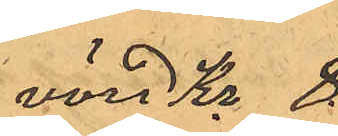värd Kr 8
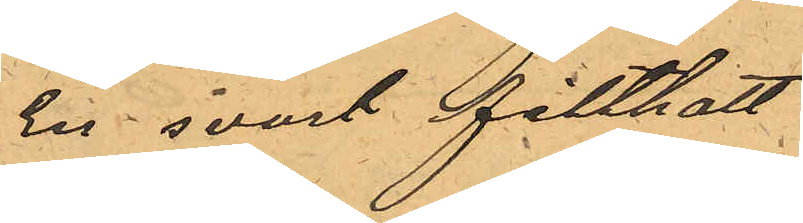En svart filthatt
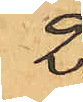2.
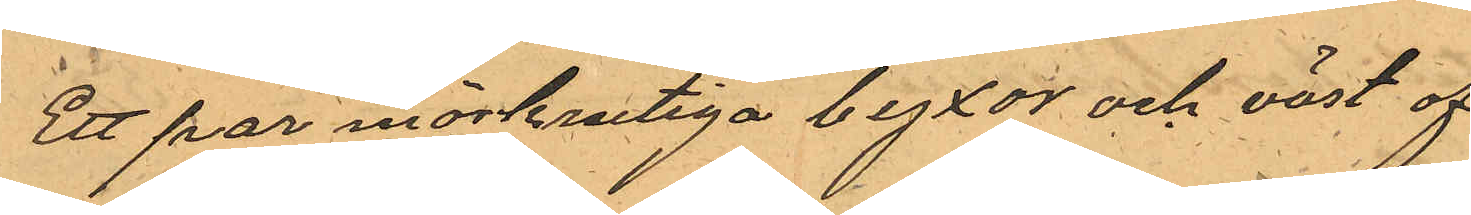Ett par mörkrutiga byxor och väst af
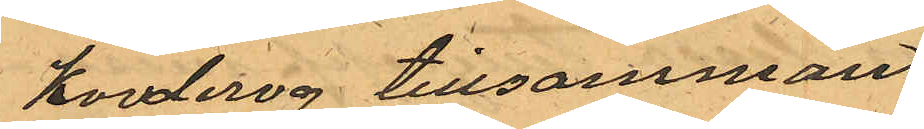korderoj tillsammans
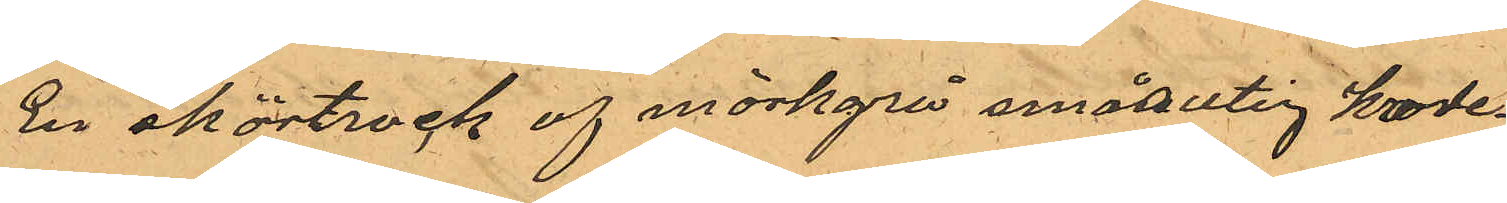En skörtrock af mörkgrå smårutig korde¬
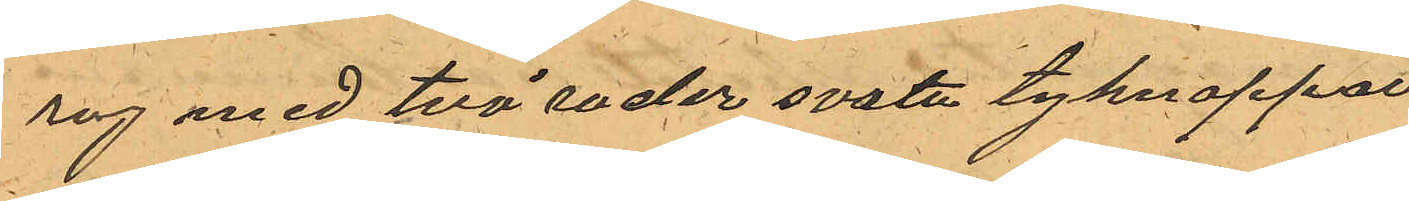roj med två rader svarta tygknappar
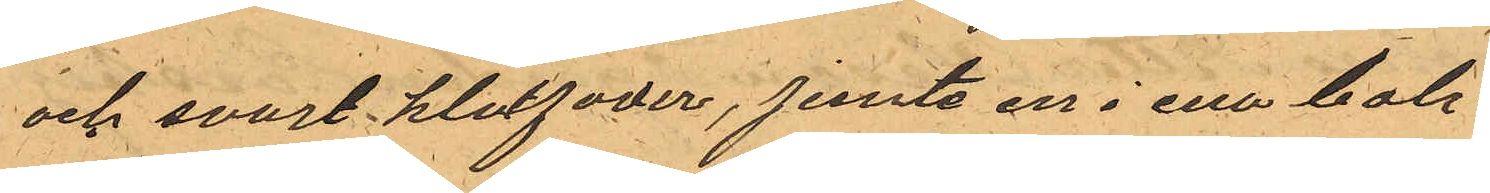och svart klotfoder, jemte en i ena bak¬
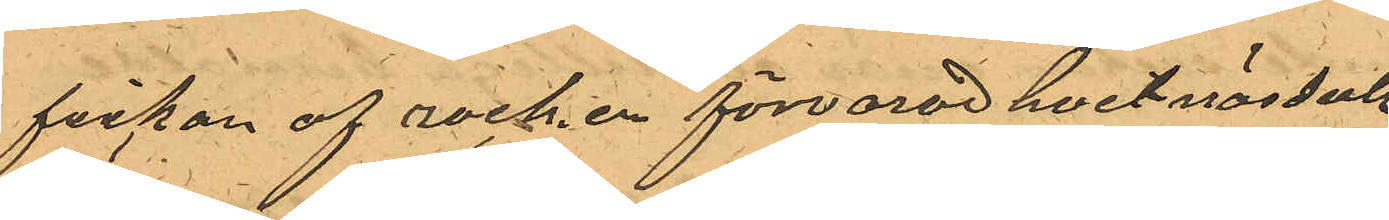fickan af rocken förvarad hvit näsduk
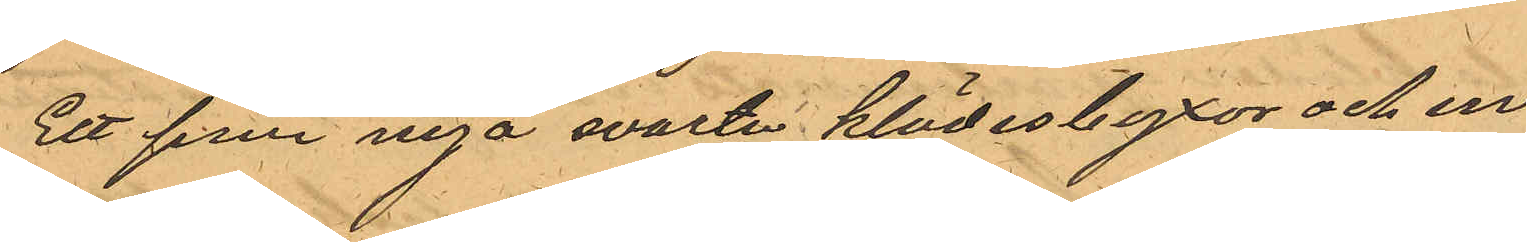Ett par nya svarta klädesbyxor och en
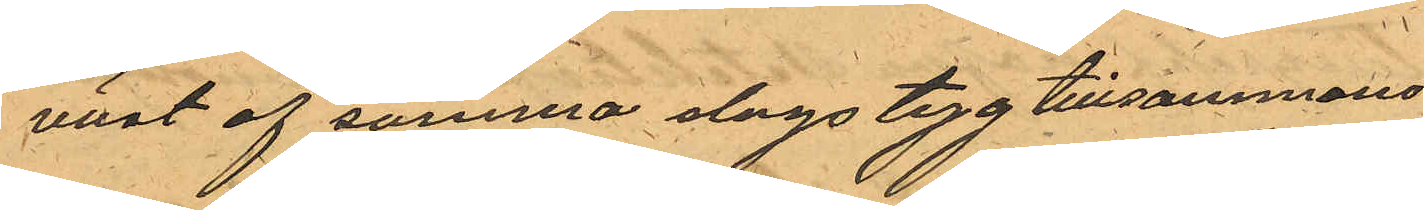väst af samma slags tyg tillsammans
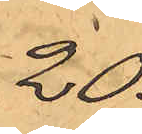20.
